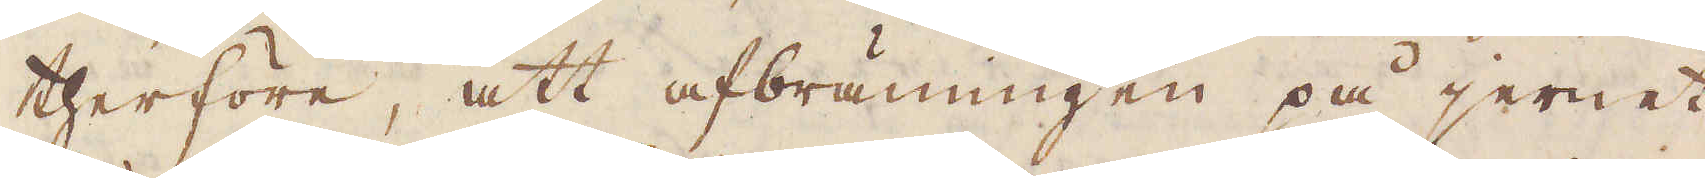therföre, att afbränningen på jernet
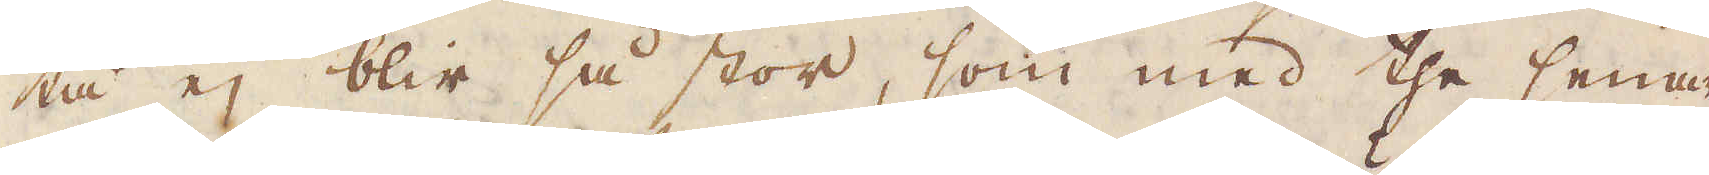tå ej blir så stor, som med the senare
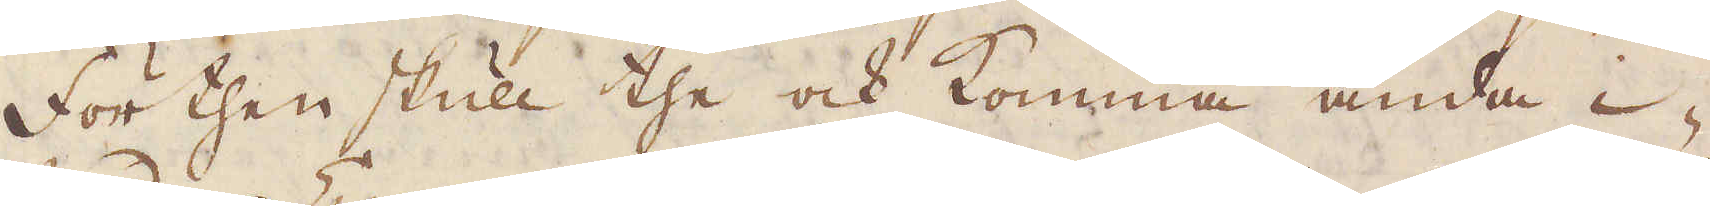förthen skull the och komma ända i-
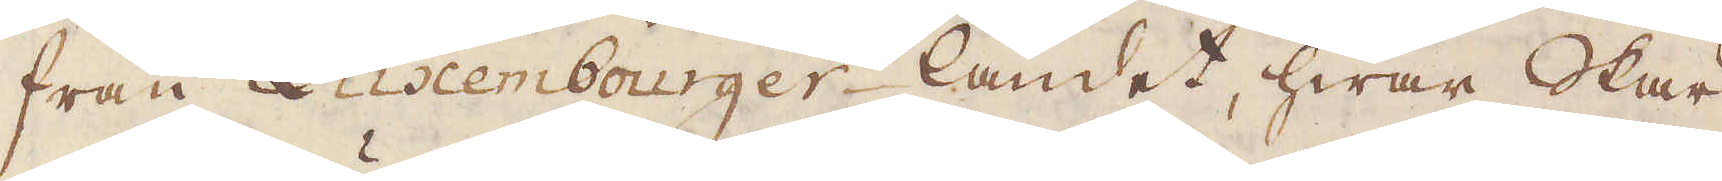från Luxembourger-landet, hwar Skär-
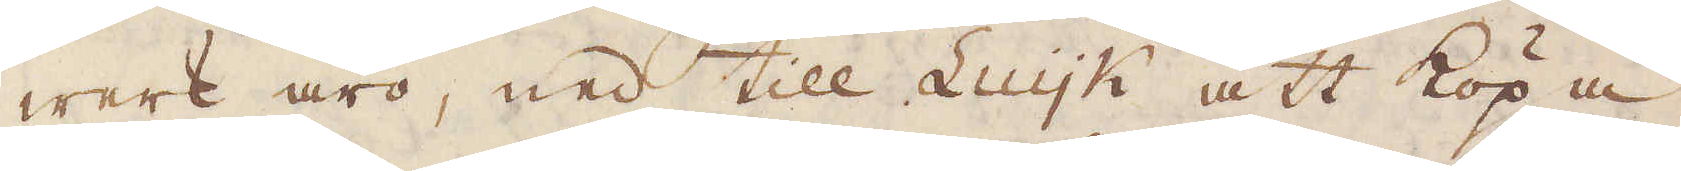werk äro, ned till Luijk att köpa
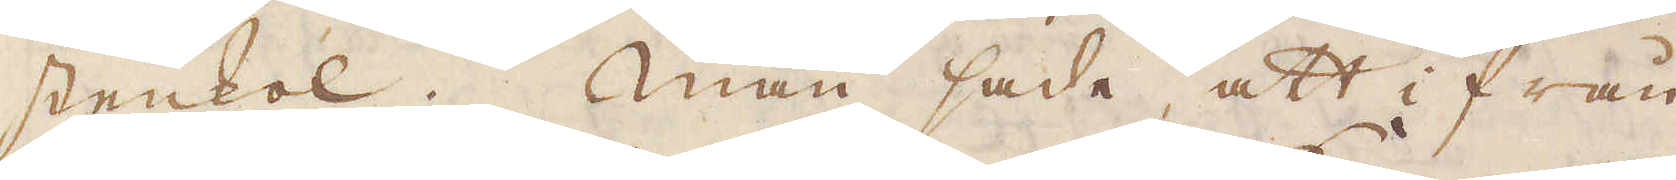stenkol. Man sade att i från
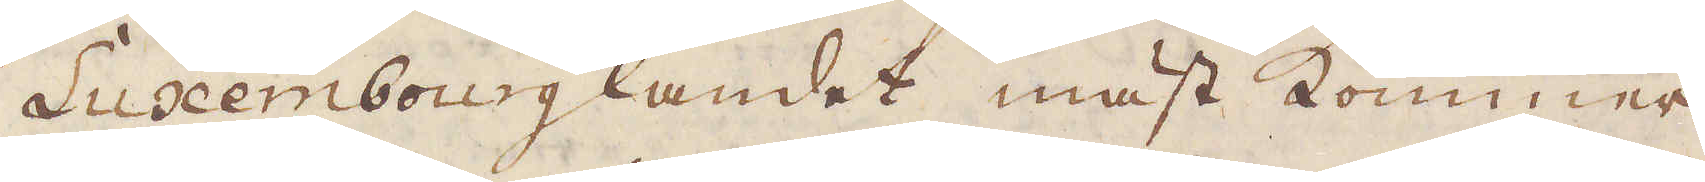Luxembourglandet mäst kommer
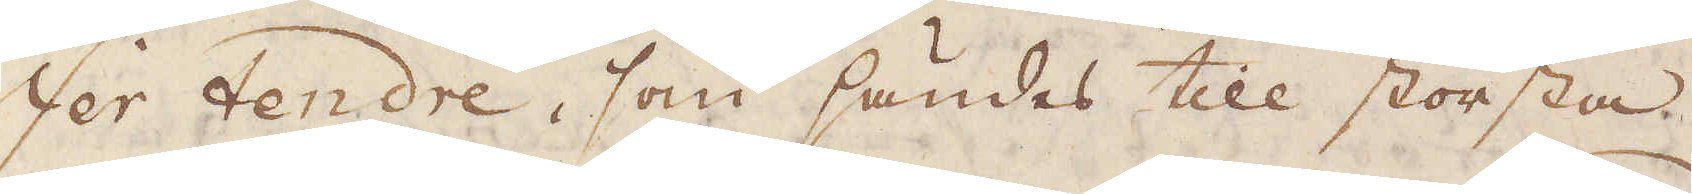Fer tendre, som sändes till största
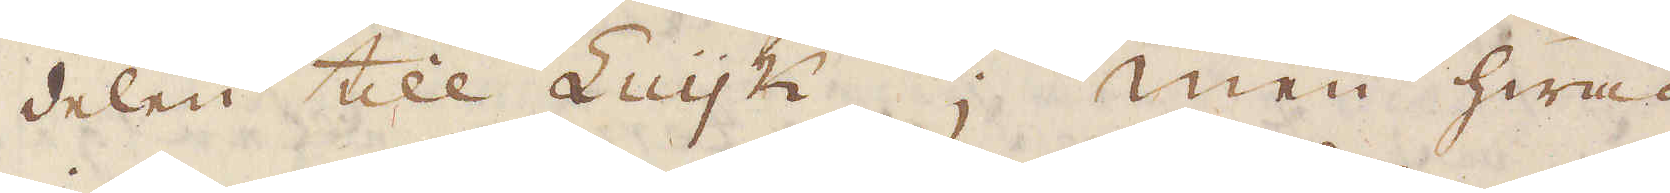delen till Luijk. Men hwad
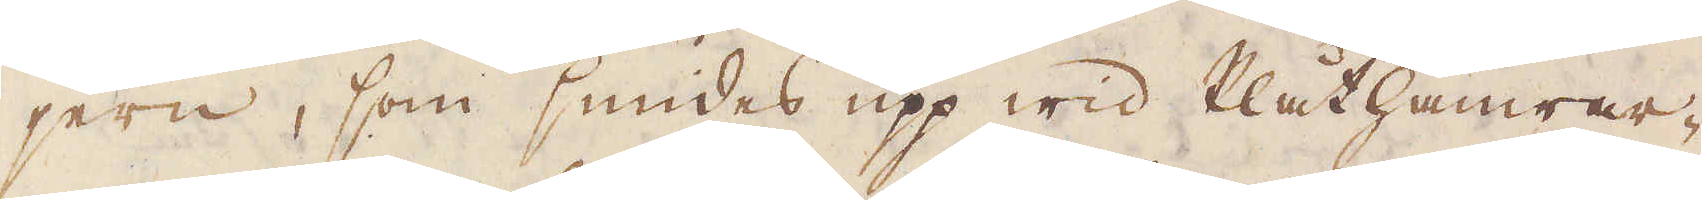jern, som smides upp wid Plåthammar-
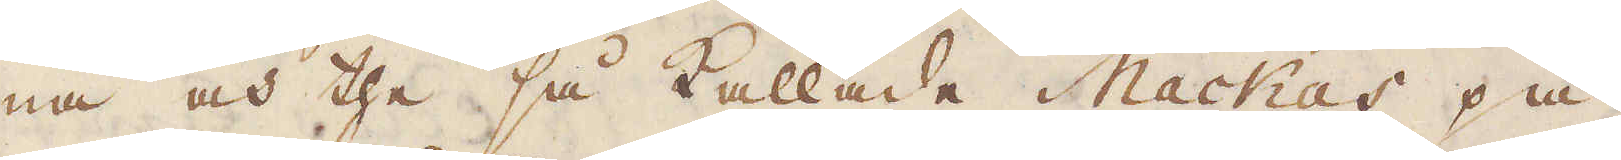na och the så kallade Mackas på
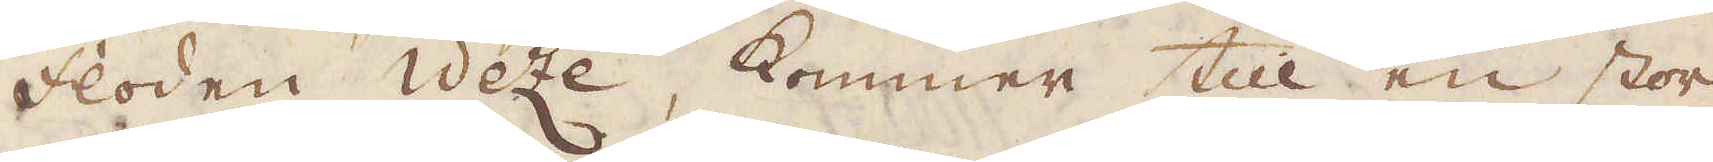floden Weze, kommer till en stor
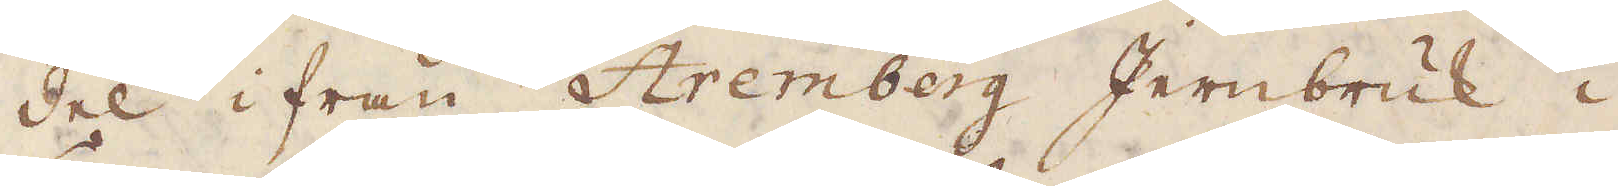del ifrån Aremberg Jernbruk i
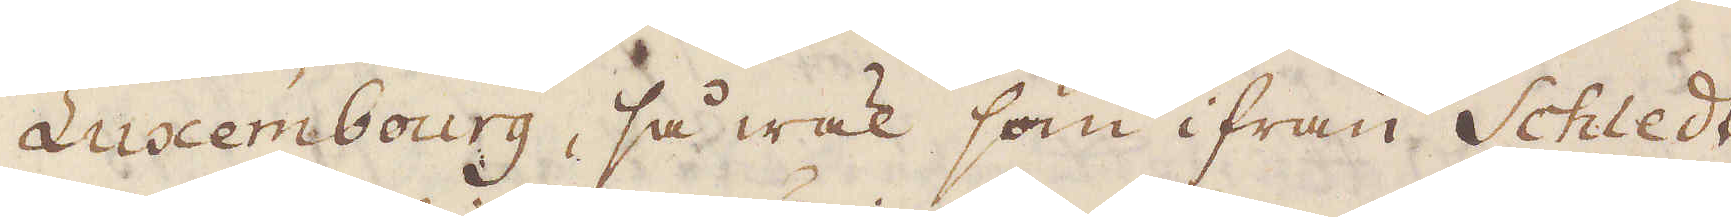Luxembourg, så wäl som ifrån Schledt
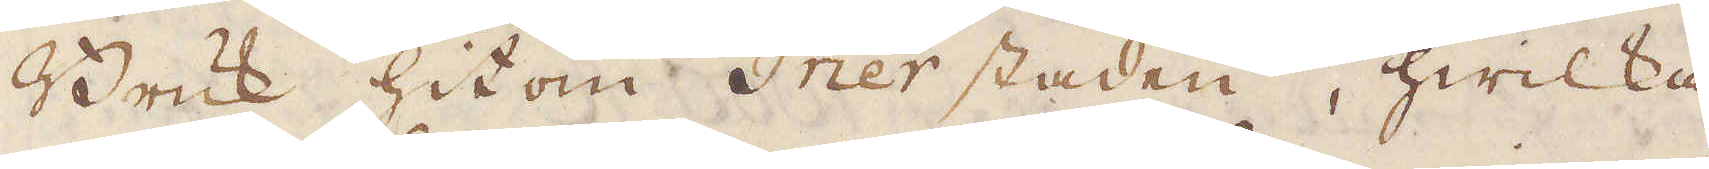Bruk hit om Trier staden, hwilka
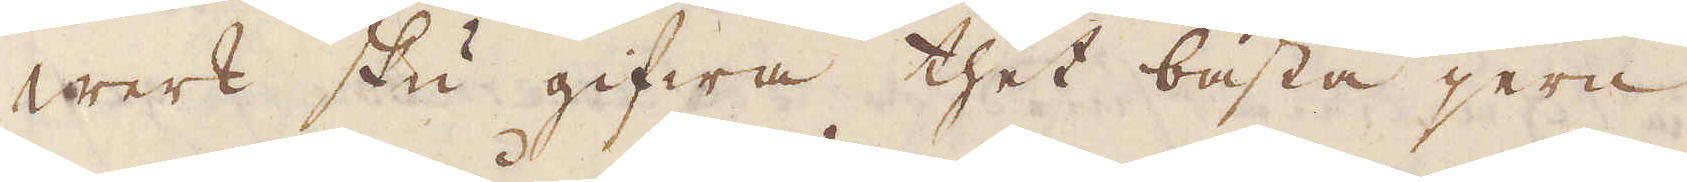werk sku gifwa thet bästa jern
